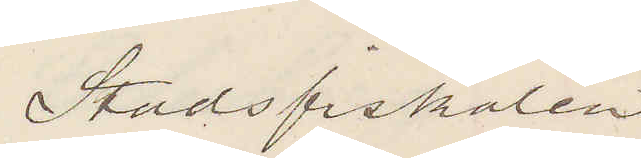Stadsfiskalen
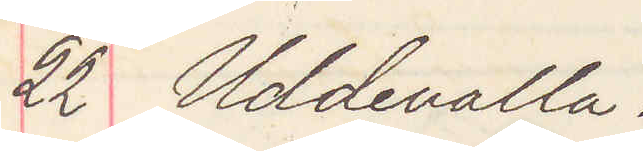22 Uddevalla.
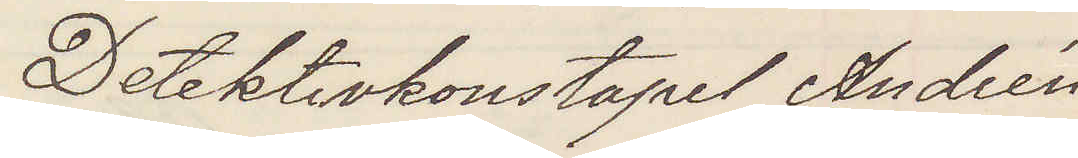Detektivkonstapel Andrén
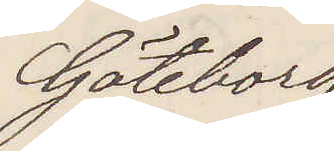Göteborg
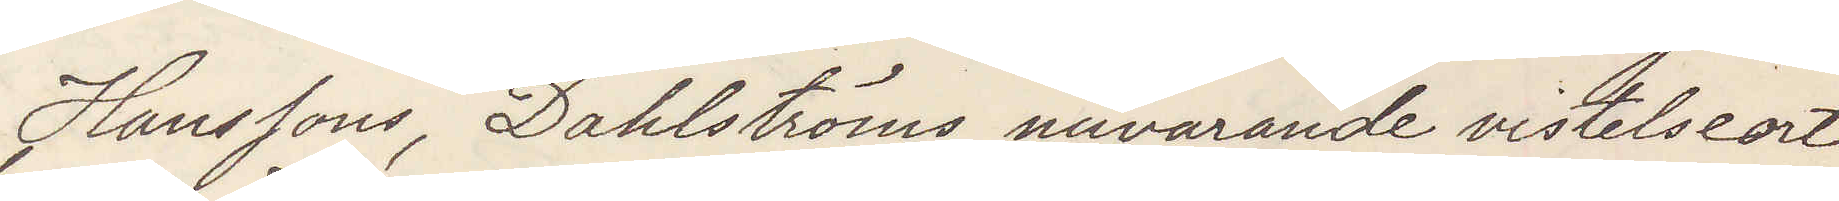Hanssons, Dahlströms nuvarande vistelseort
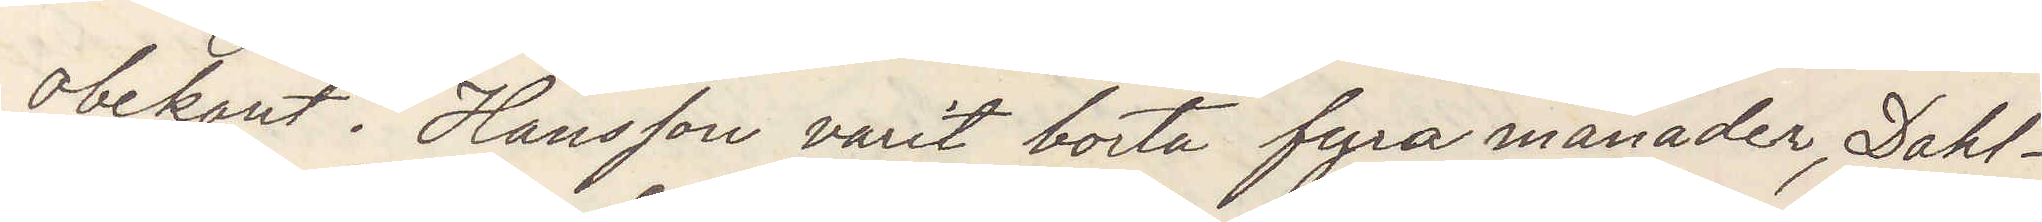obekant. Hansson varit borta fyra månader, Dahl¬
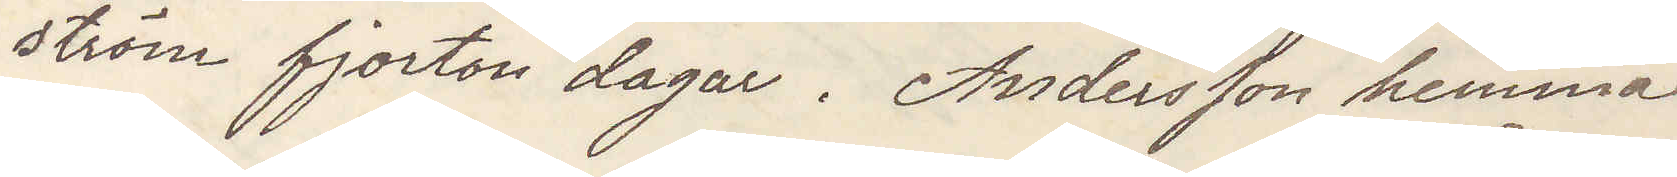ström fjorton dagar. Andersson hemma.
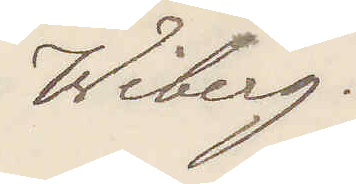Wiberg.
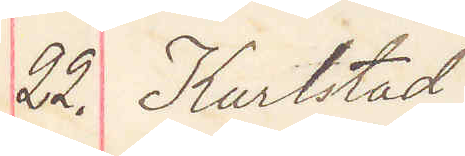22. Karlstad
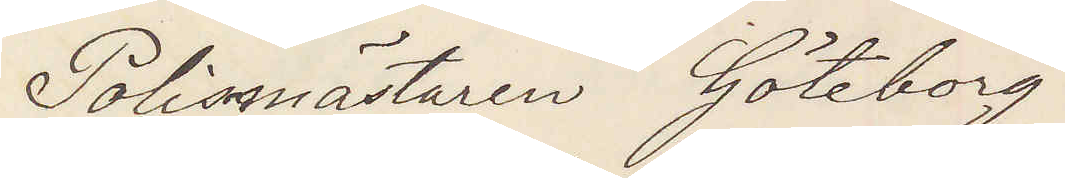Polismästaren Göteborg
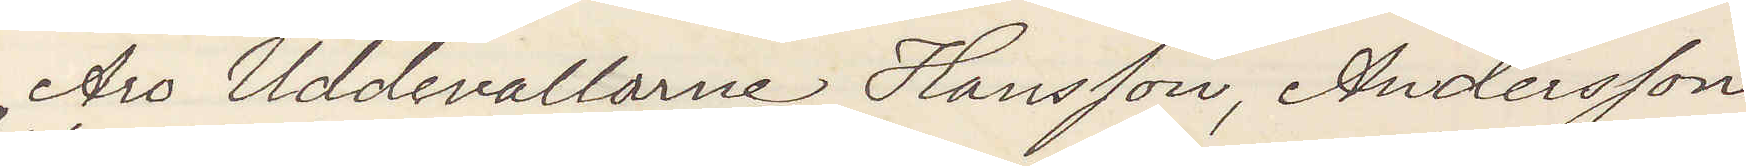Äro Uddevallarne Hansson, Andersson
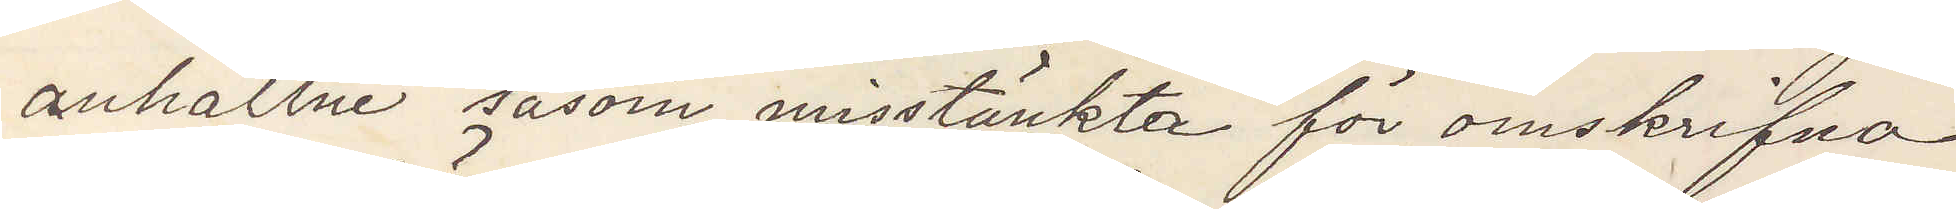anhållne såsom misstänkta för omskrifna
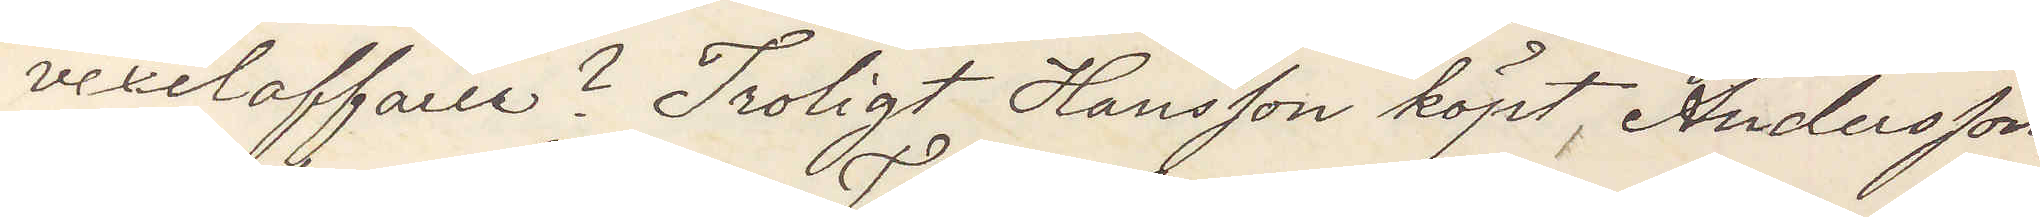vexelaffären? Troligt Hansson köpt Andersson
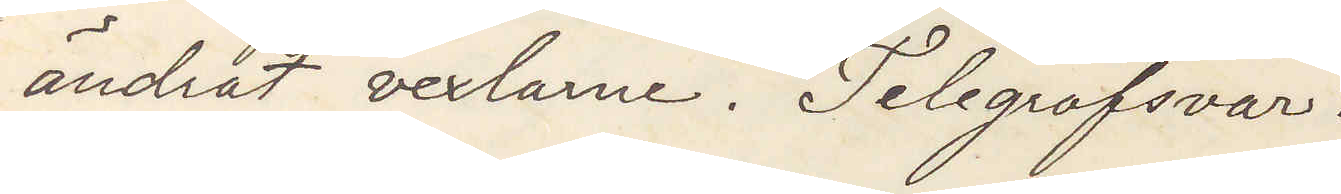ändrat vexlarne. Telegrafsvar.
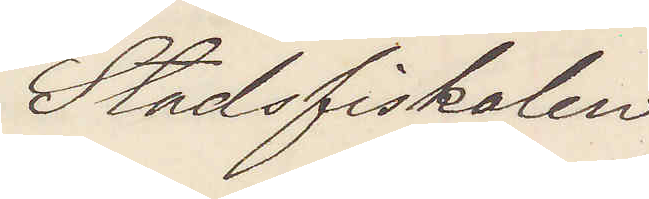Stadsfiskalen
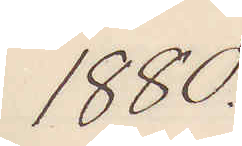1880
